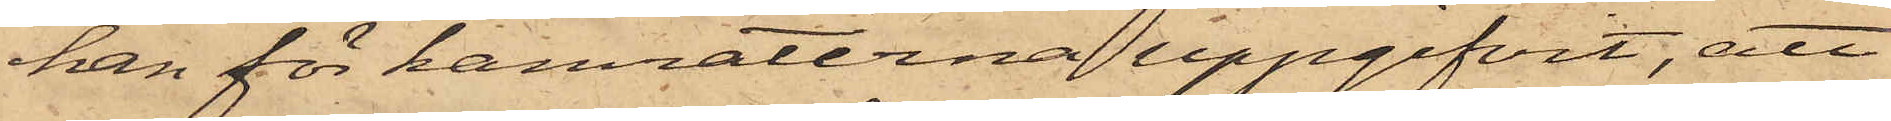han för kamraterna uppgifvit, att
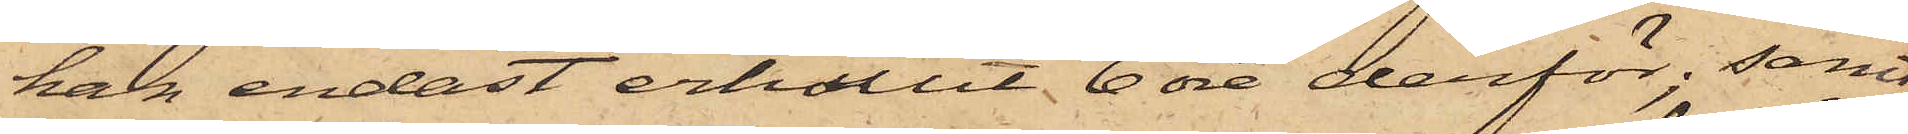han endast erhållit 6 öre derför; samt
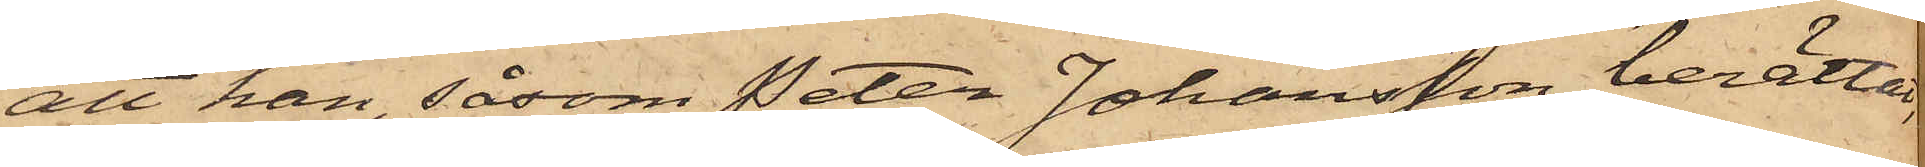att han, såsom Peter Johansson berättat,
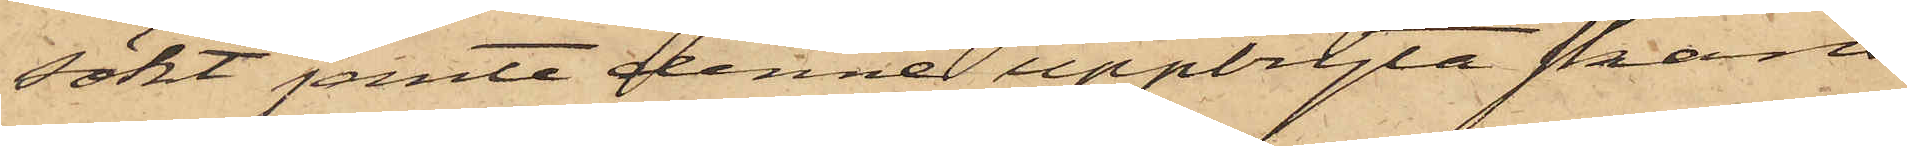sökt jemte denne uppbryta skans¬
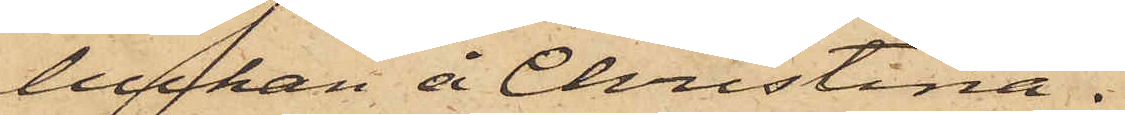luckan å Christina.
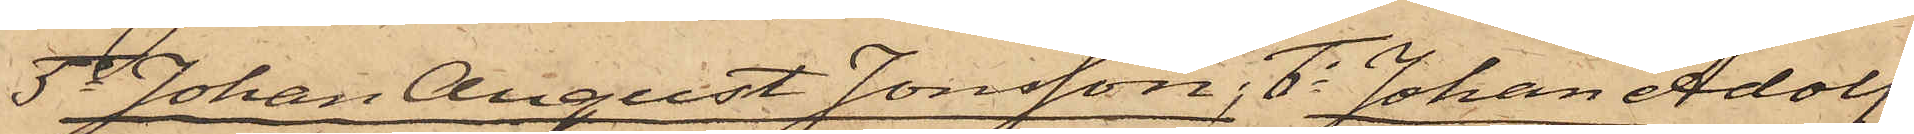5o Johan August Jonsson, 6o Johan Adolf
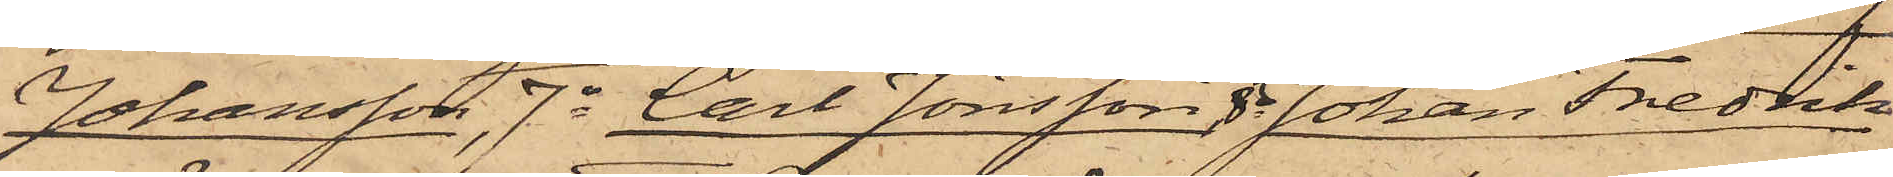Johansson, 7o Carl Jönsson, 8o Johan Fredrik
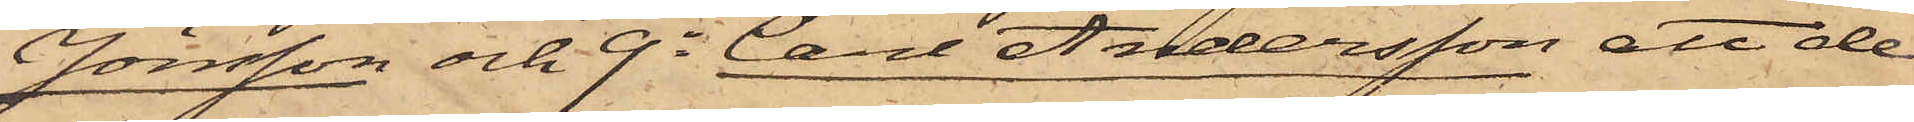Jönsson och 9o Carl Andersson att de
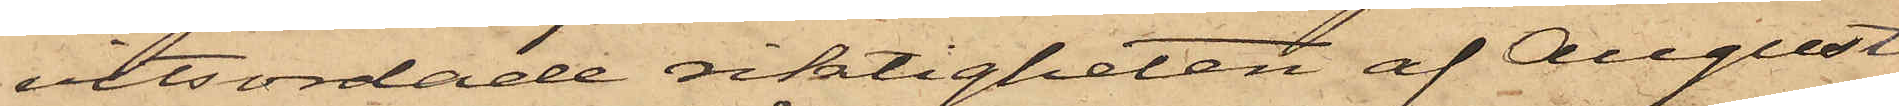vitsordade riktigheten af August
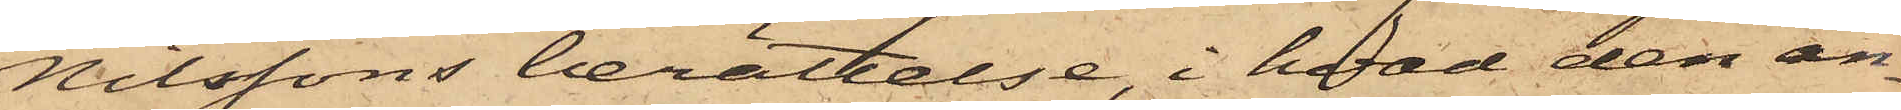Nilssons berättelse, i hvad den an¬
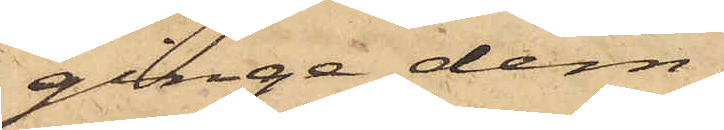ginge dem.
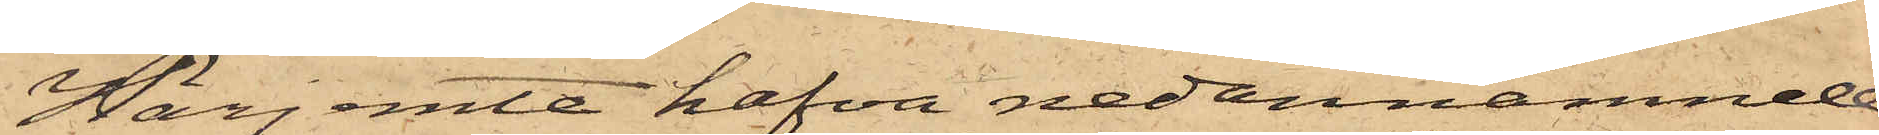Härjemte hafva nedannämnde
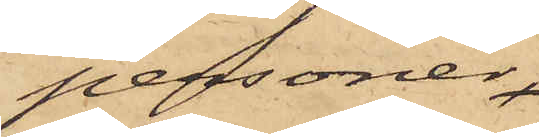personer
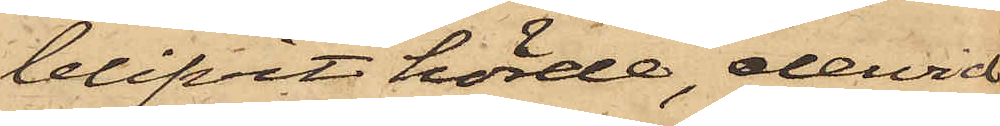blifvit hörde, dervid
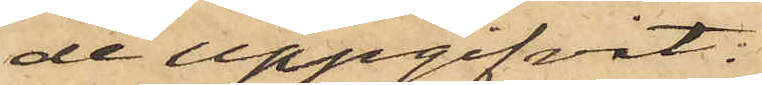de uppgifvit:
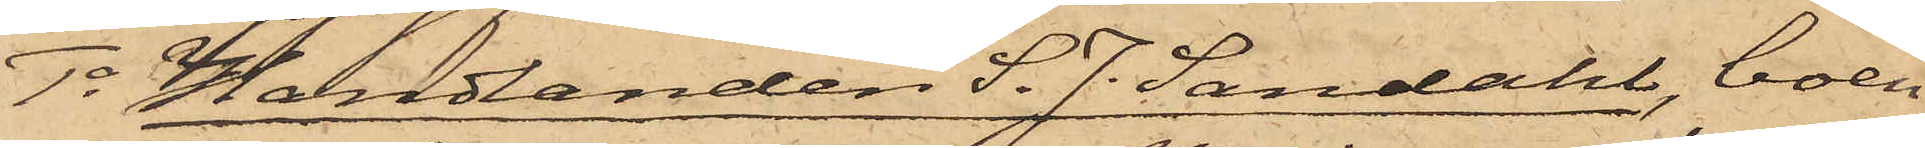1o Handlanden S. J. Sandahl, boen¬
